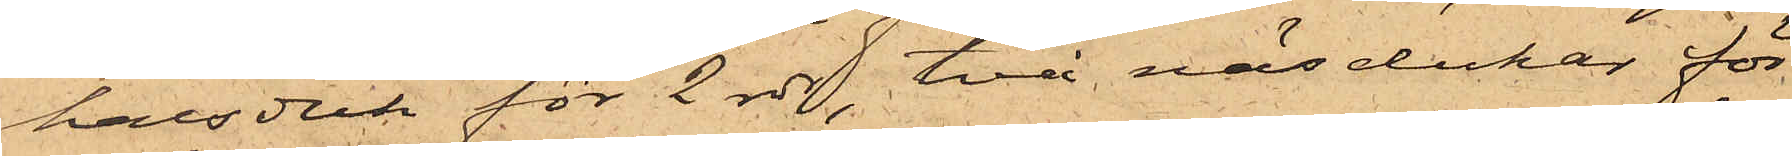halsduk för 2 rdr, två näsdukar för
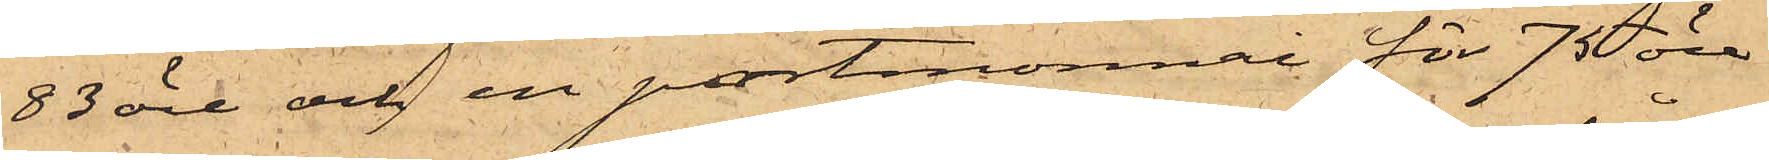83 öre och en portmonnai för 75 öre.
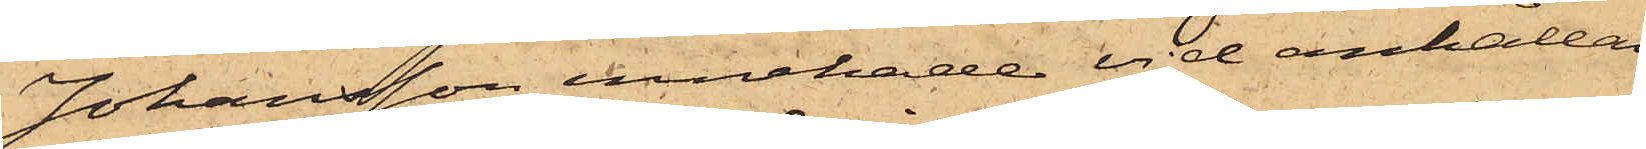Johansson innehade vid anhållan
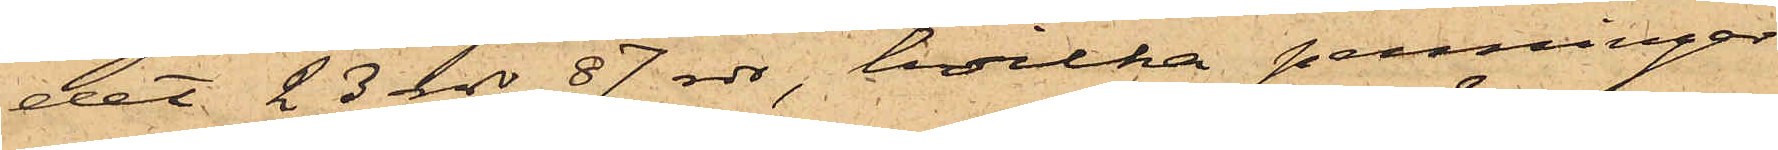det 23 rdr 87 rdr, hvilka penningar
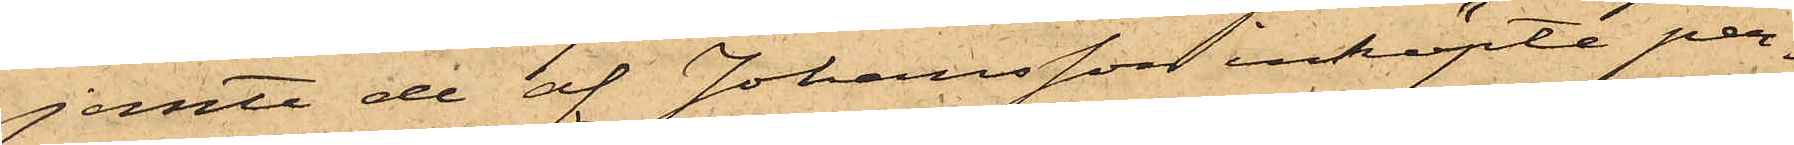jemte de af Johansson inköpte per¬
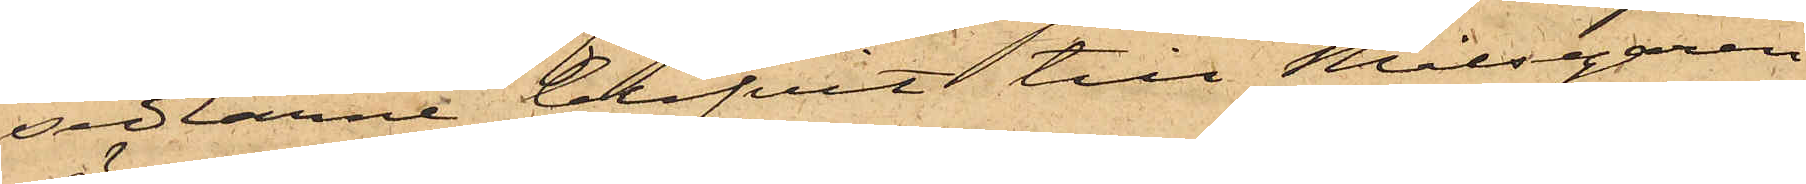sedlarne blifvit till Målsegaren
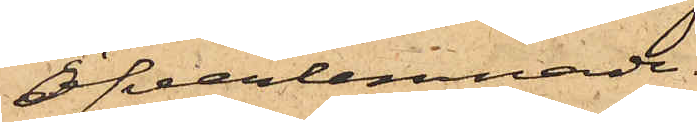öfverlemnade.
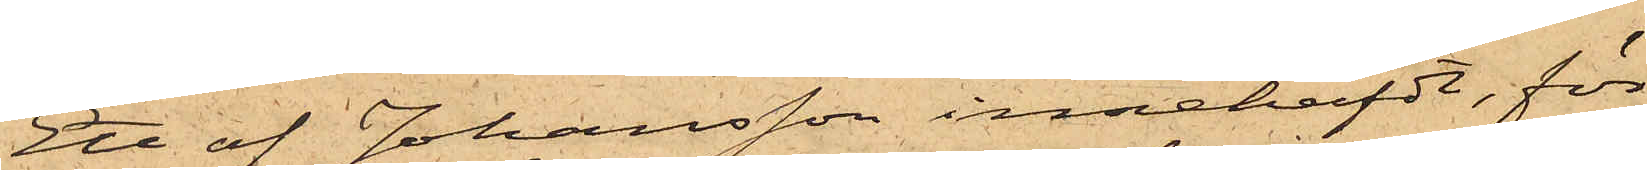Ett af Johansson innehafdt, för
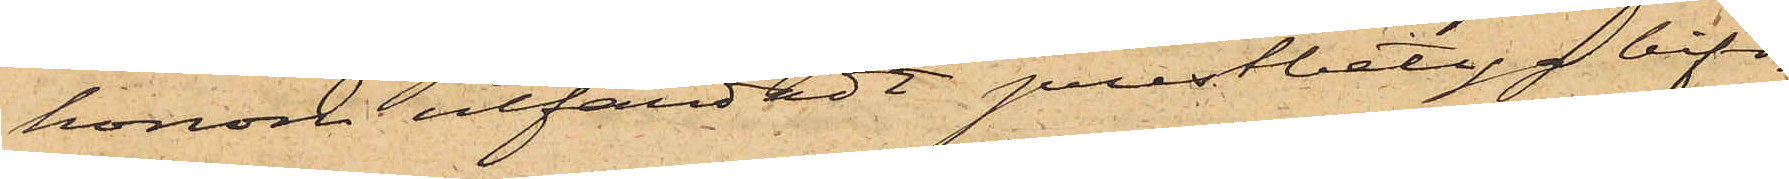honom utfärdadt prestbetyg bifo¬
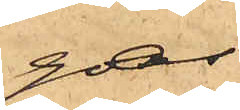gas.
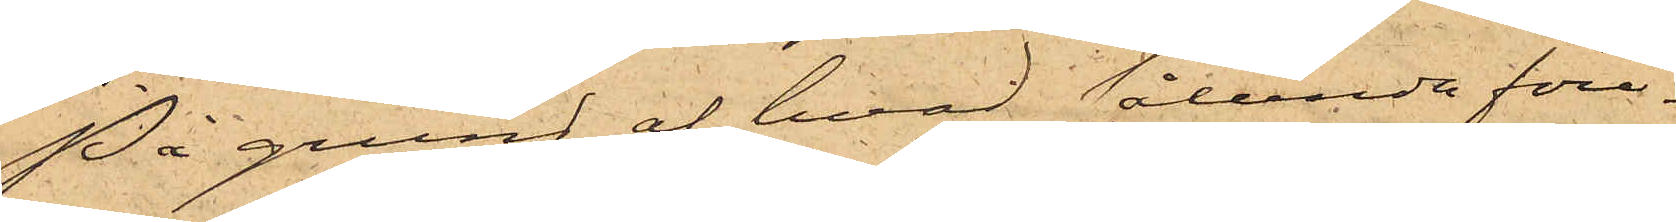På grund af hvad sålunda före¬
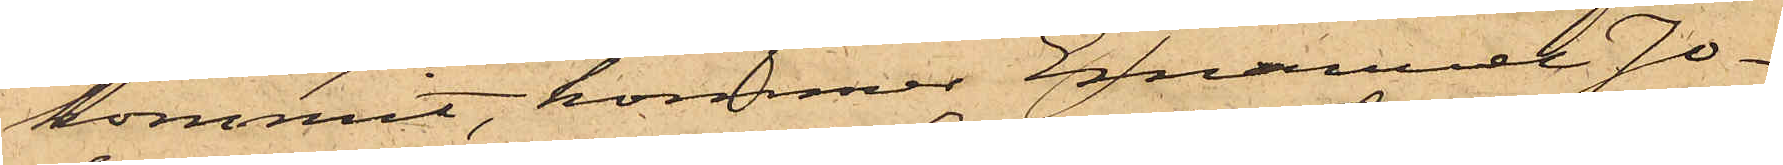kommit, kommer Emanuel Jo¬
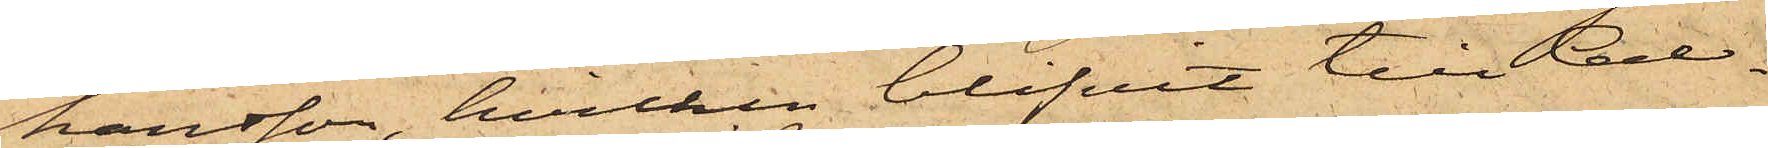hansson, hvilken blifvit till Cell¬
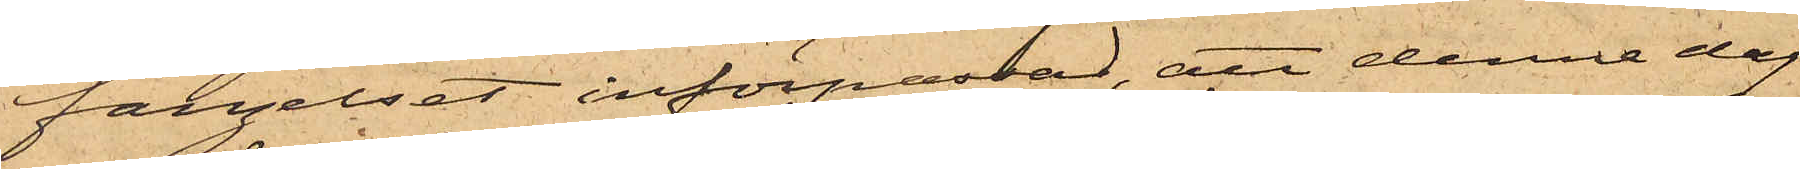fängelset införpassad, att denna dag
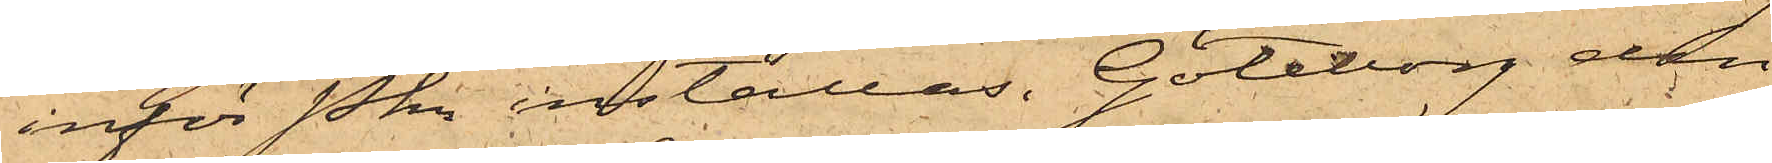inför Pkn inställas. Göteborg den
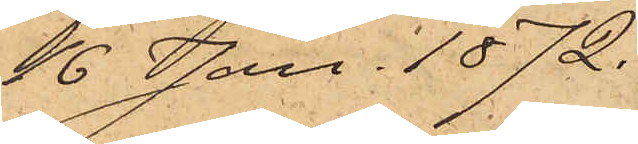16 Jan. 1872.
